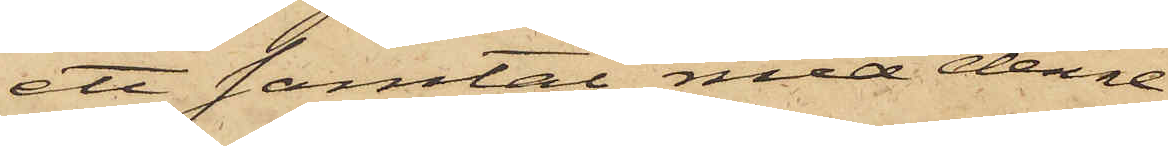ett samtal med denne,
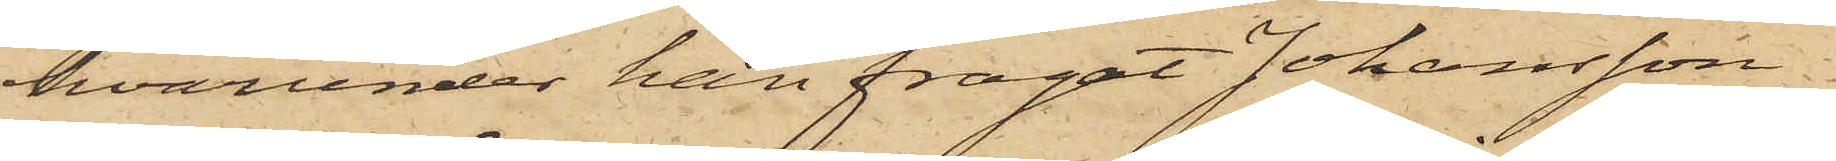hvarunder han frågat Johansson
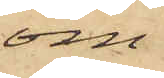om
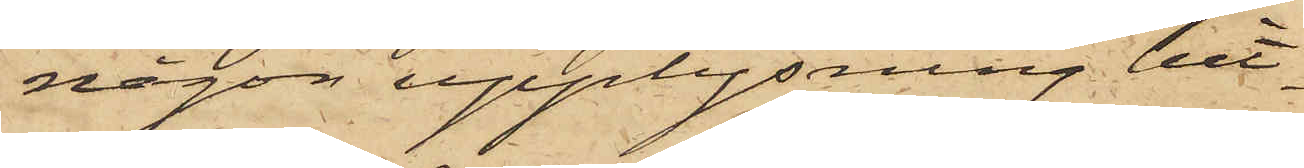någon upplysning hit¬
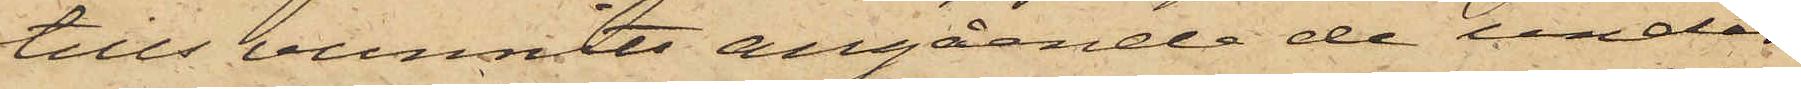tills vunnits angående de under
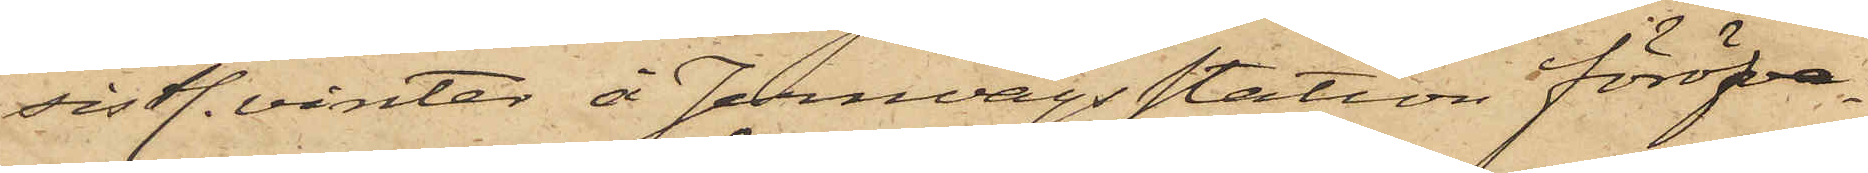sistl. vinter å Jernvägsstation föröfva¬
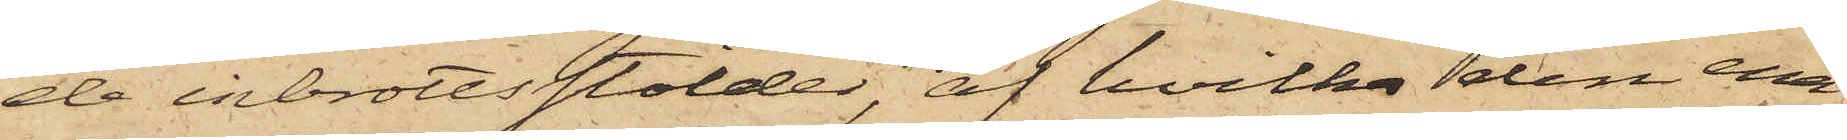de inbrottsstölder, af hvilka den ena
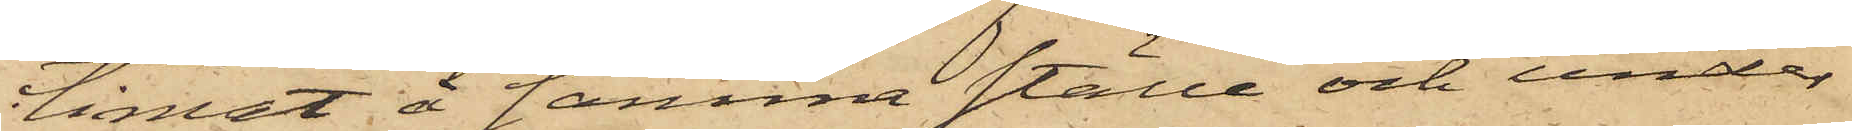timat å samma ställe och under
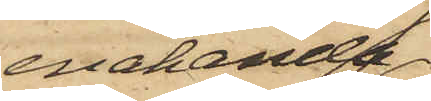enahanda
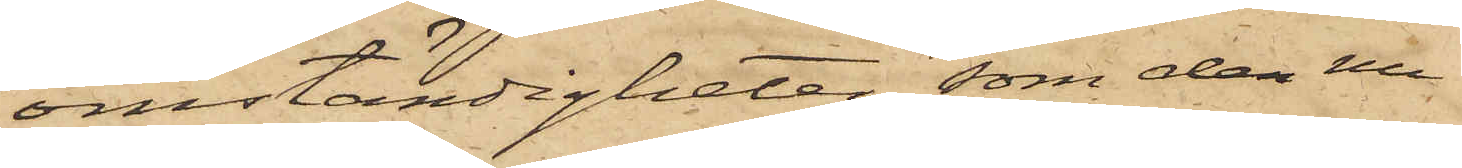omständigheter, som den nu
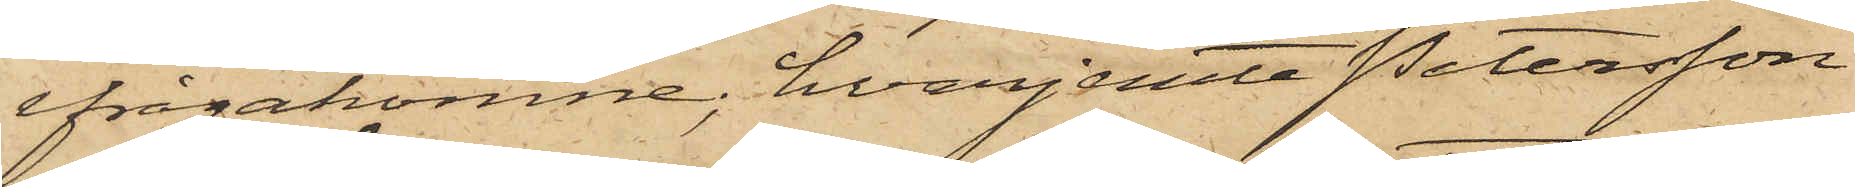ifrågakomne; hvarjemte Petersson
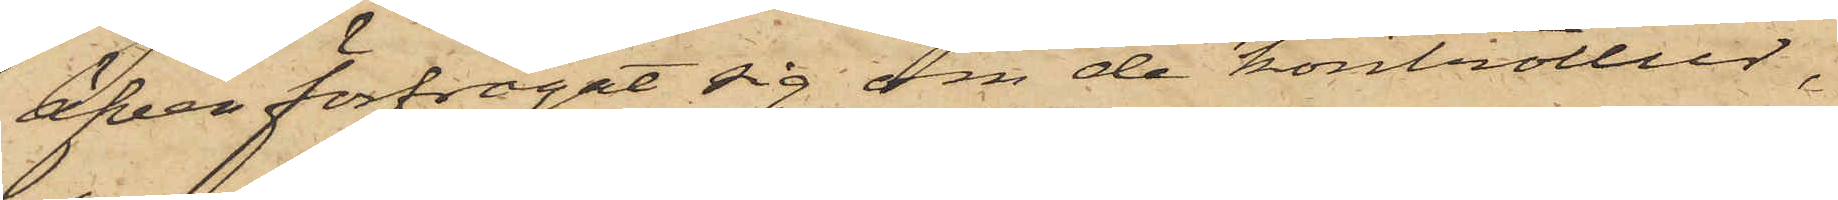äfven förfrågat sig om de kontroller,
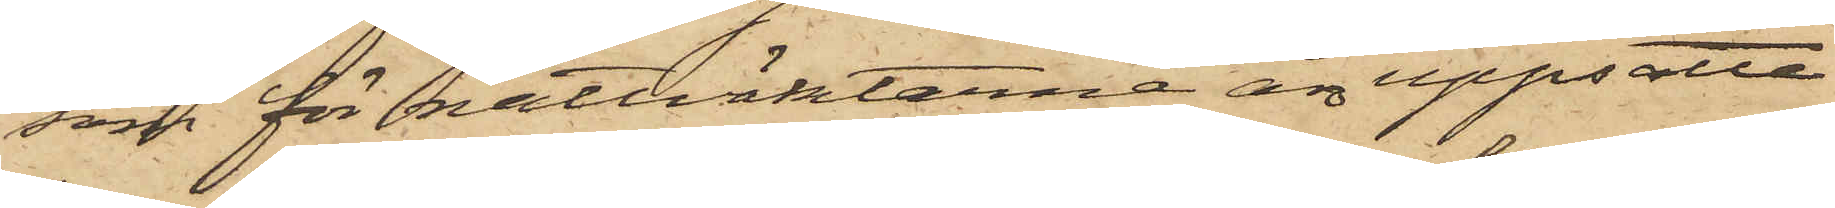som för nattväktarna äro uppsatte
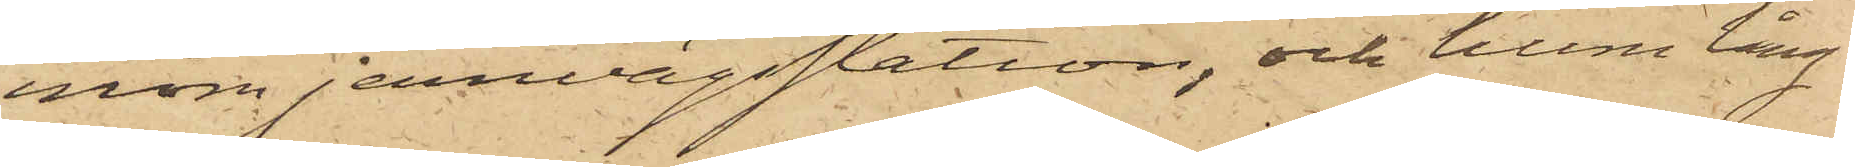inom jernvägsstation, och huru lång
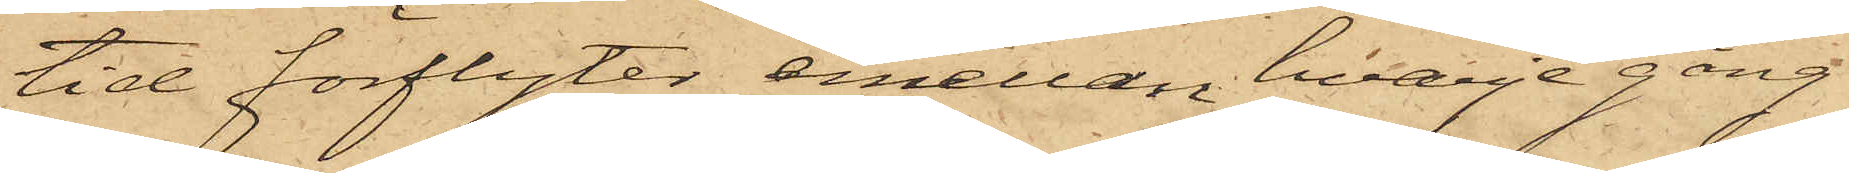tid förflyter emellan hvarje gång
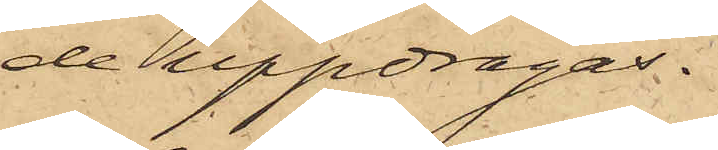de uppdragas.
